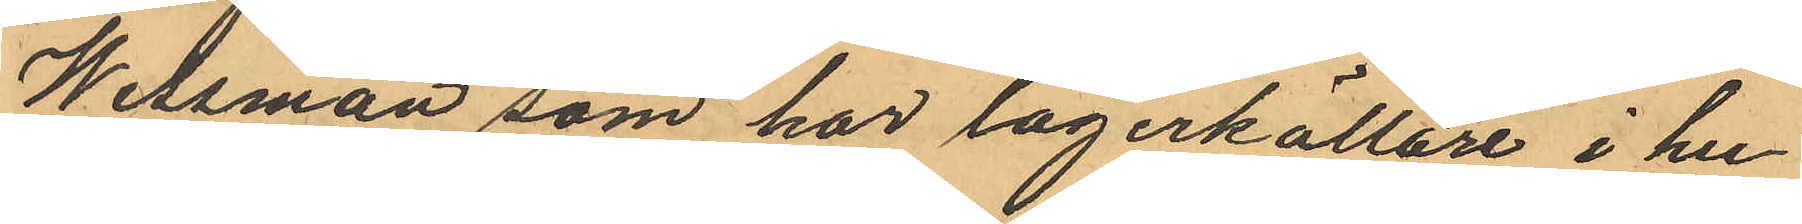Wessman som har lagerkällare i hu¬
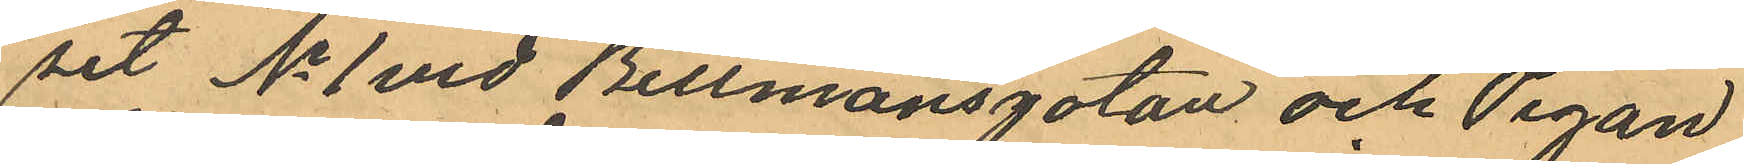set No 1 vid Bellmansgatan och Pigan
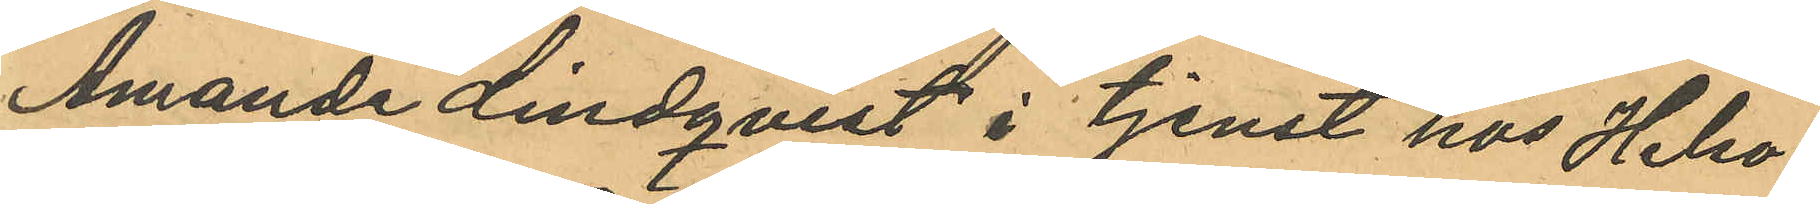Amanda Lindqvist i tjenst hos Helso¬
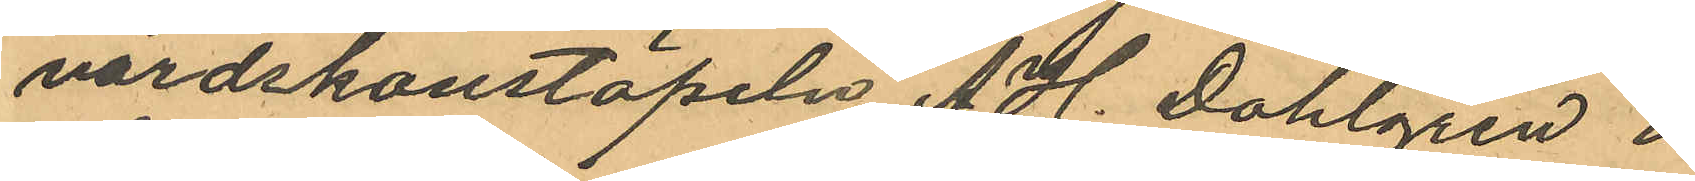vårdskonstapeln A. H. Dahlgren i
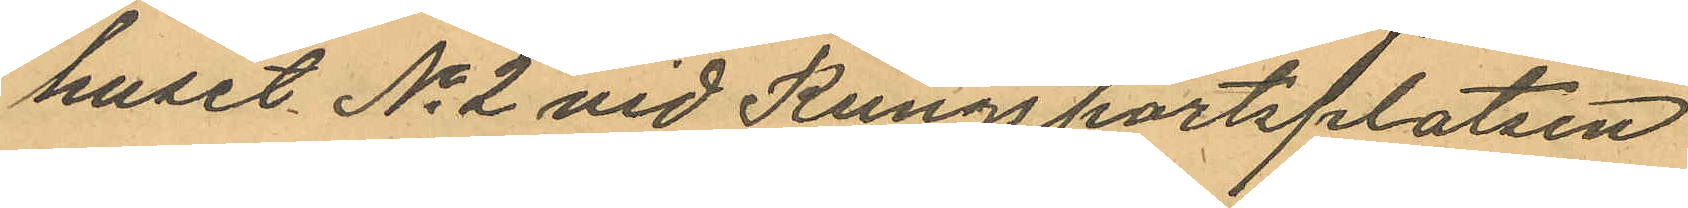huset No 2 vid Kungsportsplatsen
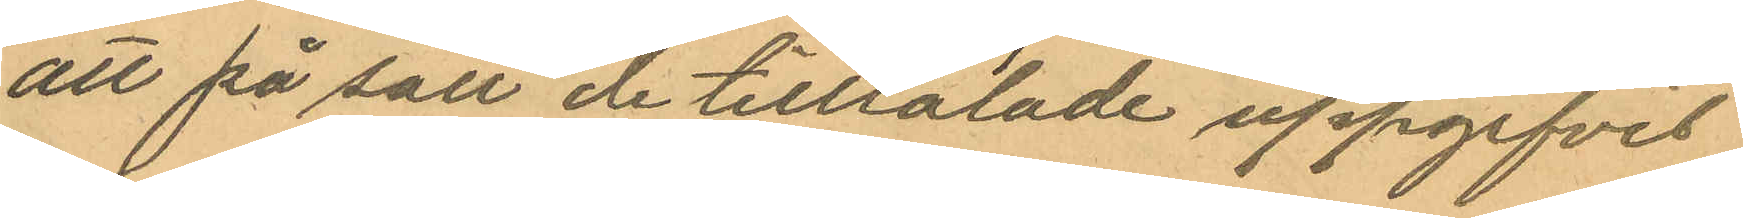att på sätt de tilltalade uppgifvit
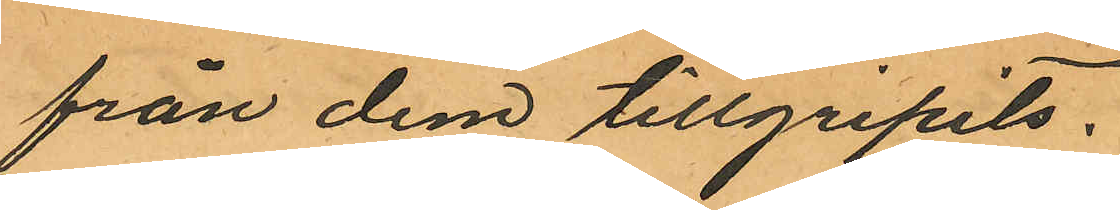från dem tillgripits.
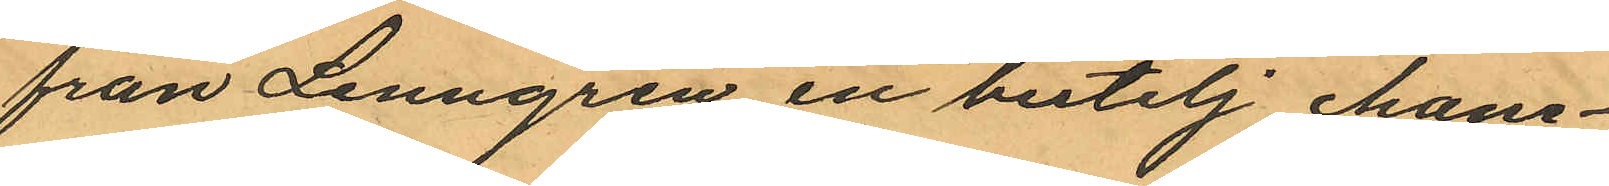från Lenngren en butelj cham¬
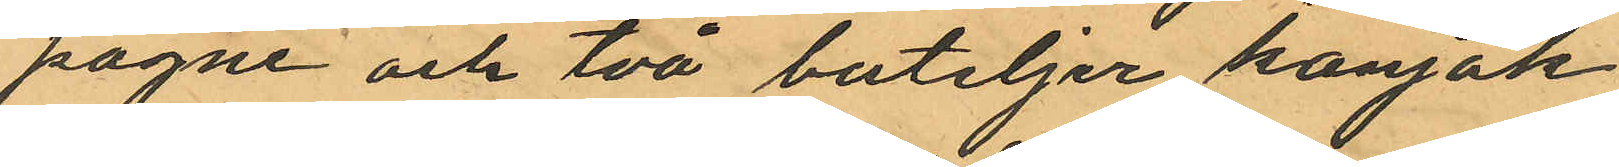pagne och två buteljer konjak
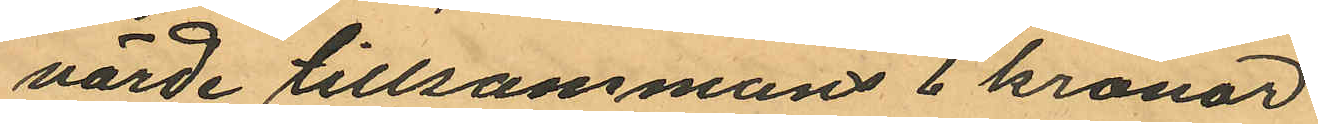värde tillsammans 6 kronor
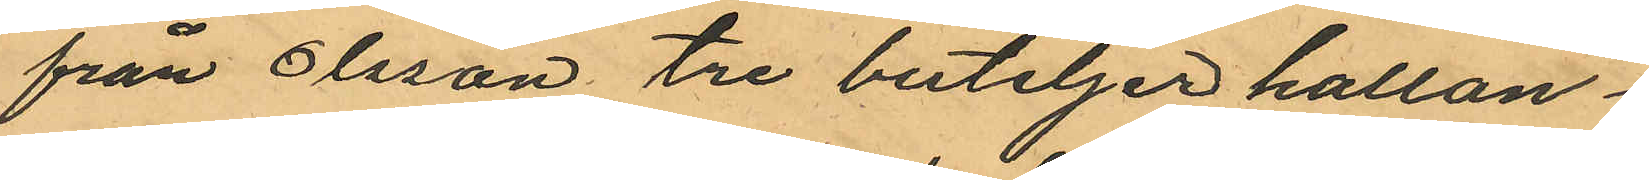från Olsson tre buteljer hallon¬
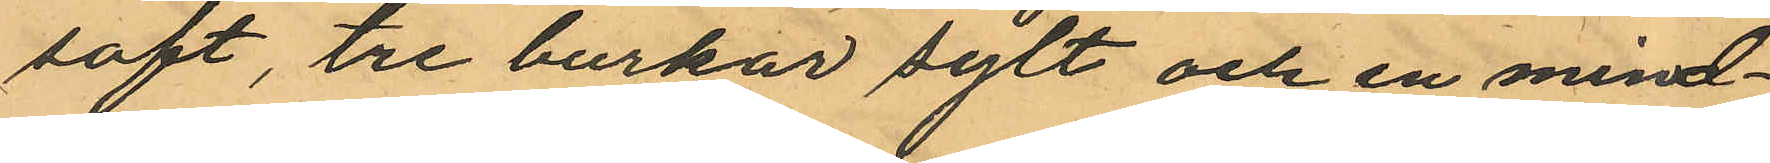saft, tre burkar sylt och en mind¬
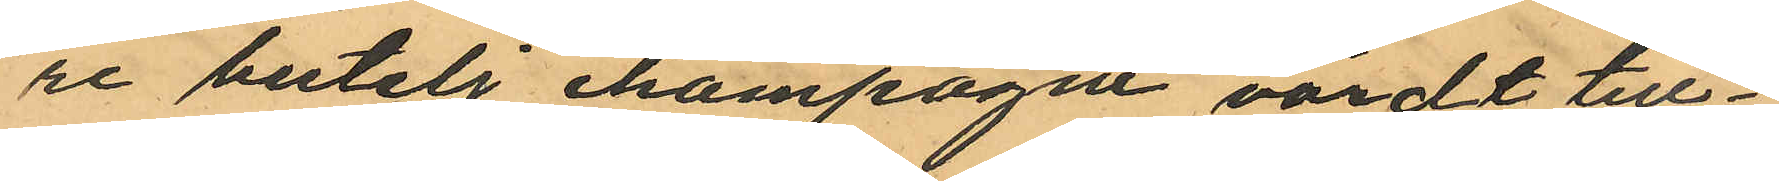re butelj champagne värdt till¬
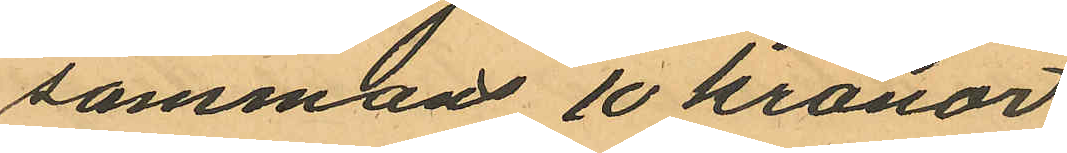sammans 10 kronor
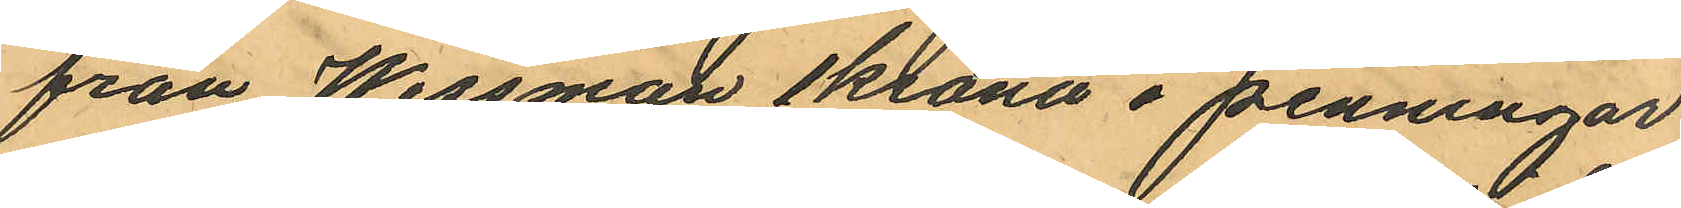från Wessman 1krona i penningar
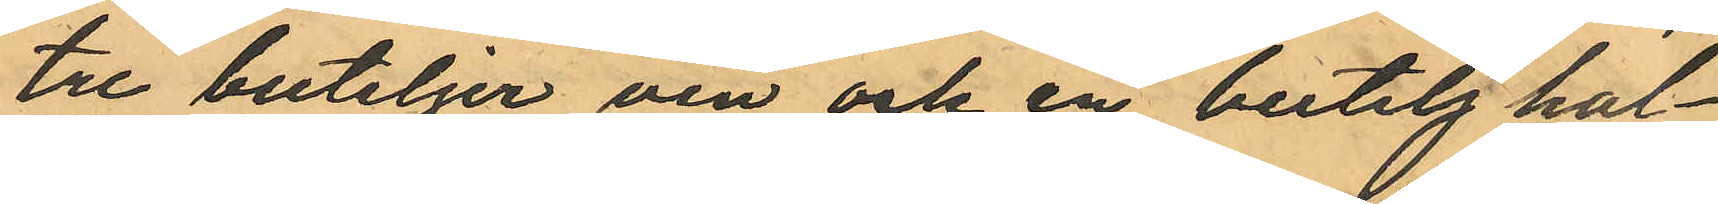tre buteljer vin och en butelj hal¬
